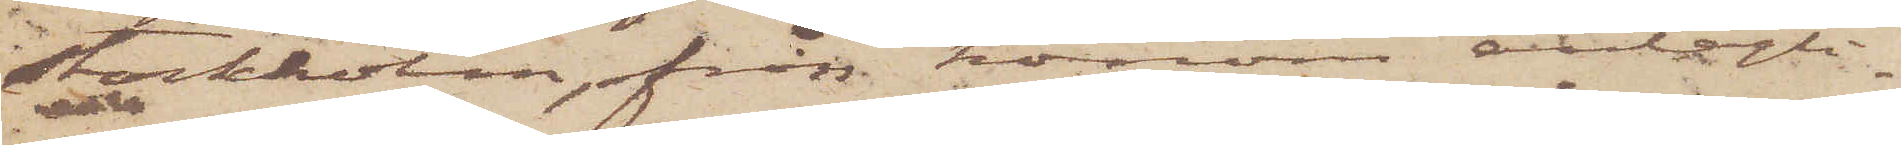Stockholm, från honom antagli¬
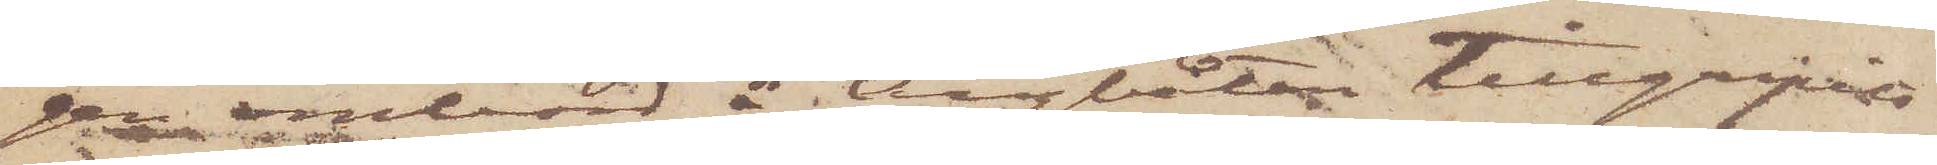gen ombord å Ångbåten tillgripits
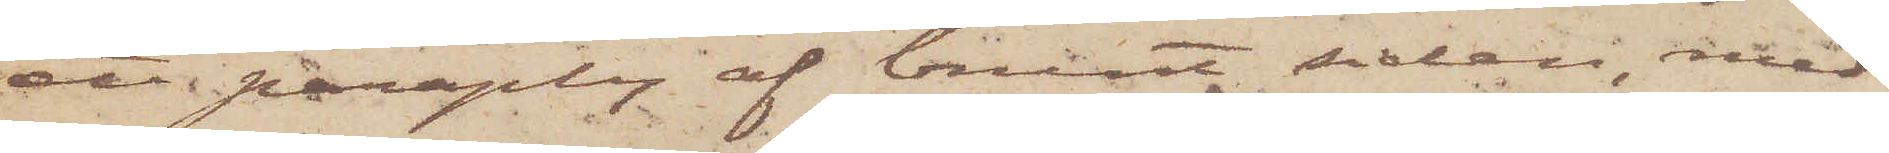ett paraply af brunt siden, med
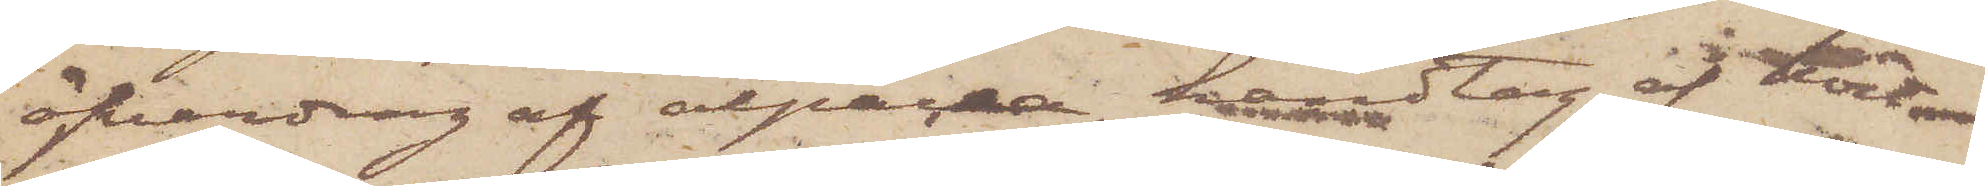öfverdrag af alpacka, handtag af kort
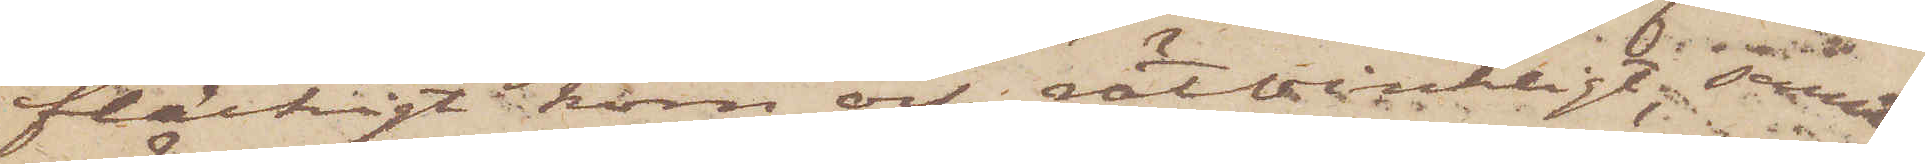fläckigt horn och rätvinkligt; samt
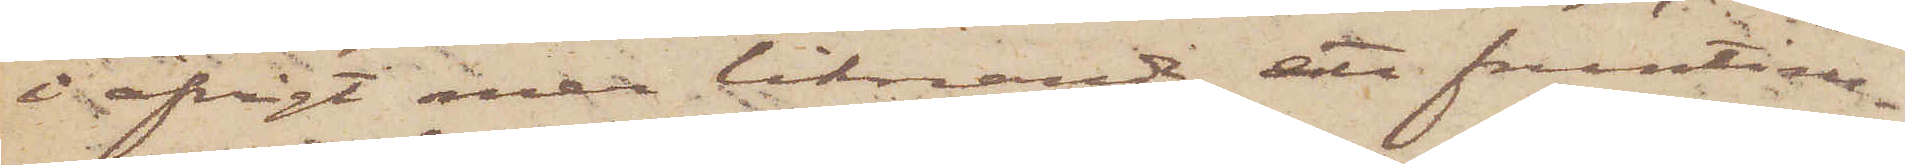i öfrigt mer liknande ett fruntim¬
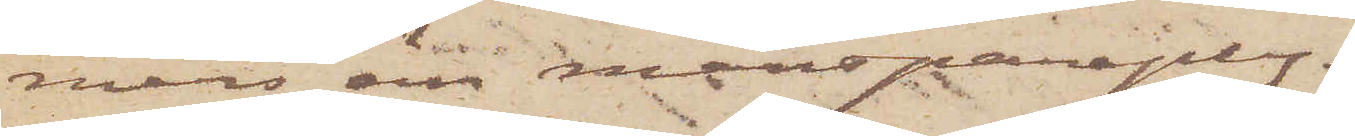mers än mansparaply.
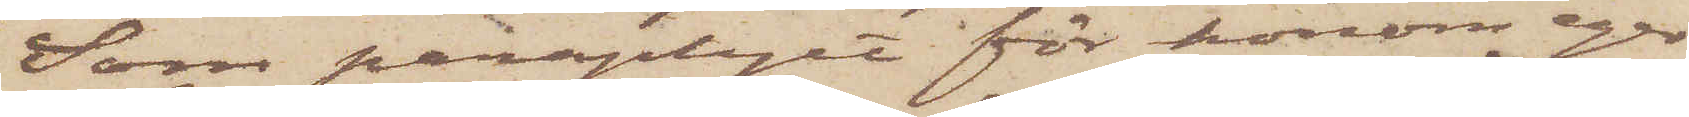Som paraplyet för honom eger
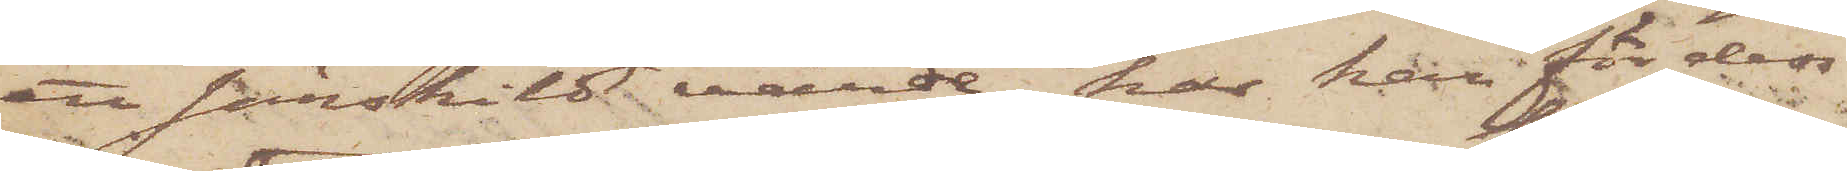ett särskilt värde, har han för dess
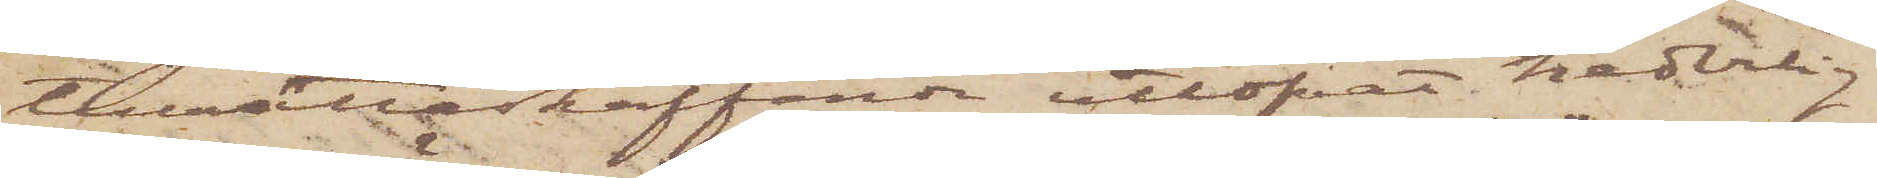tillrättaskaffande utlofvat hederlig
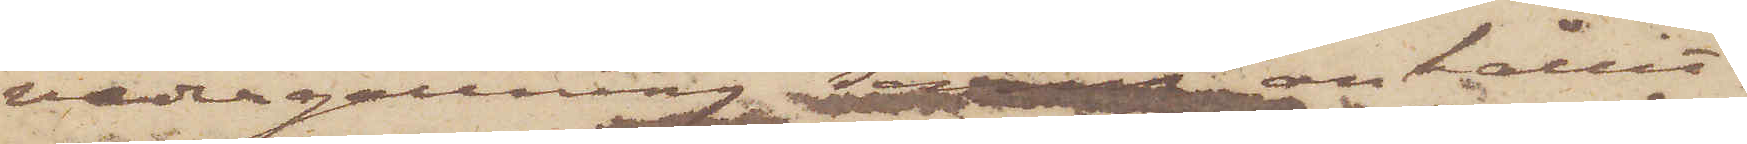vedergällning samt anhållit
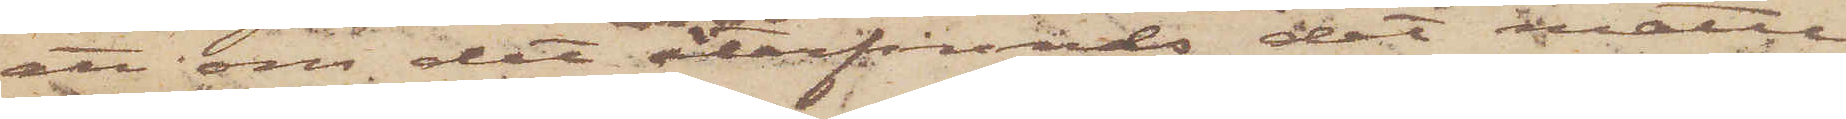att om det återfinnas, det måtte
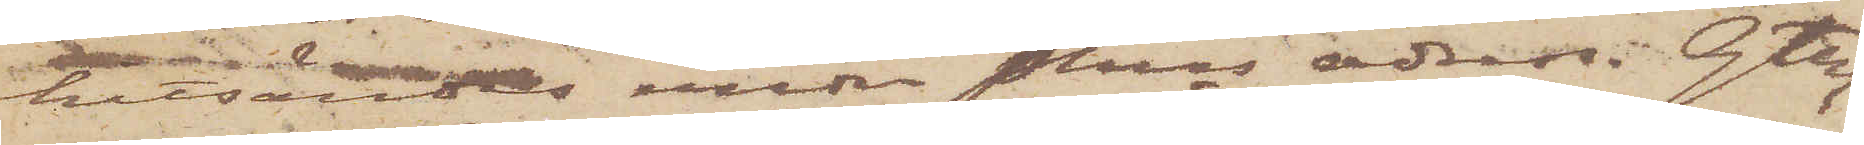sändas under Pkns adress. Gtbg
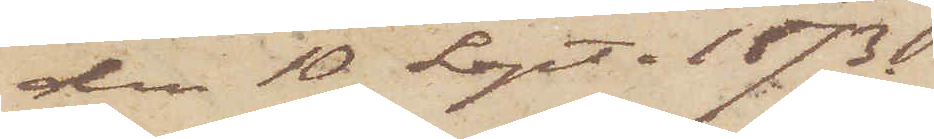den 10 Sept. 1873.
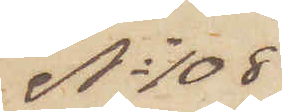No 108
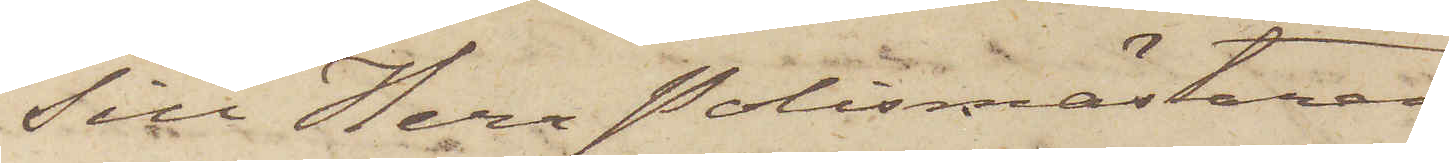Till Herr Polismästaren i
